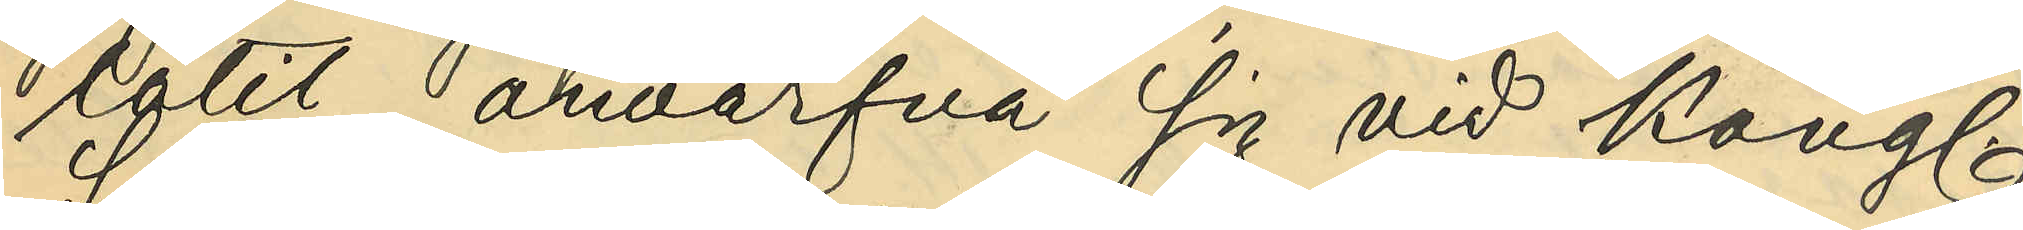låtit anvärfva sig vid Kongl.
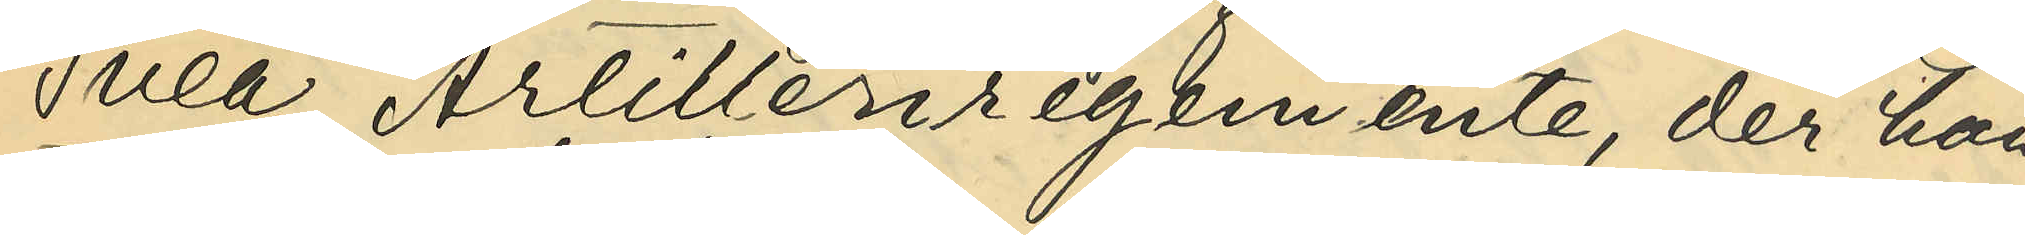Svea Artilleriregemente, der han
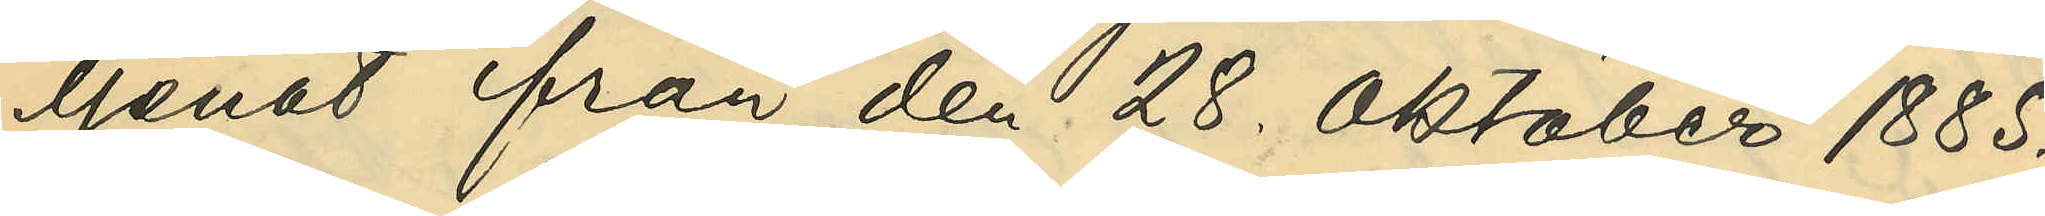tjenat från den 28. Oktober 1885.
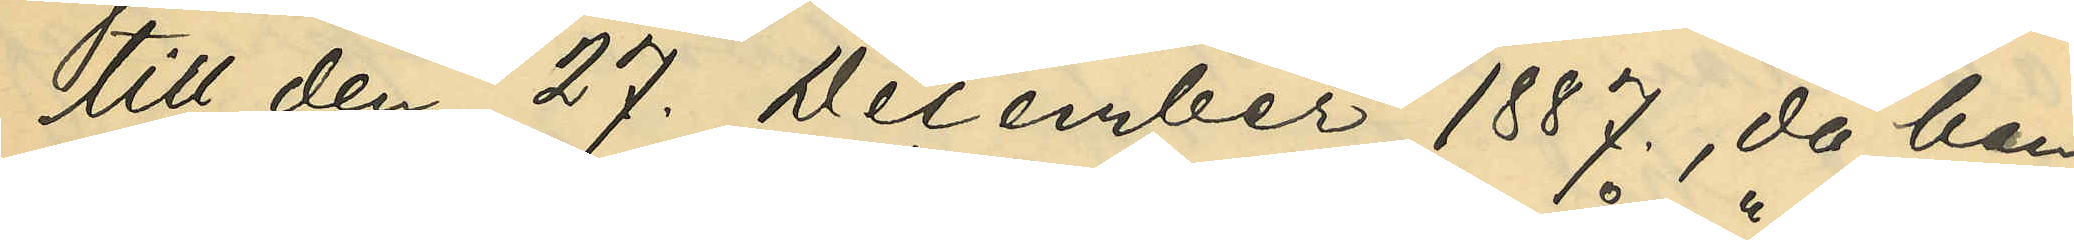till den 27. December 1887., då han
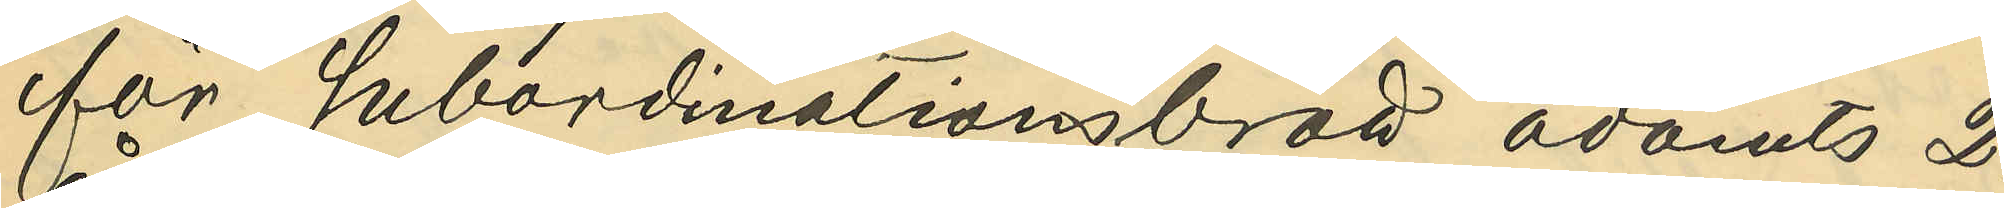för subordinationsbrott ådömts 2.
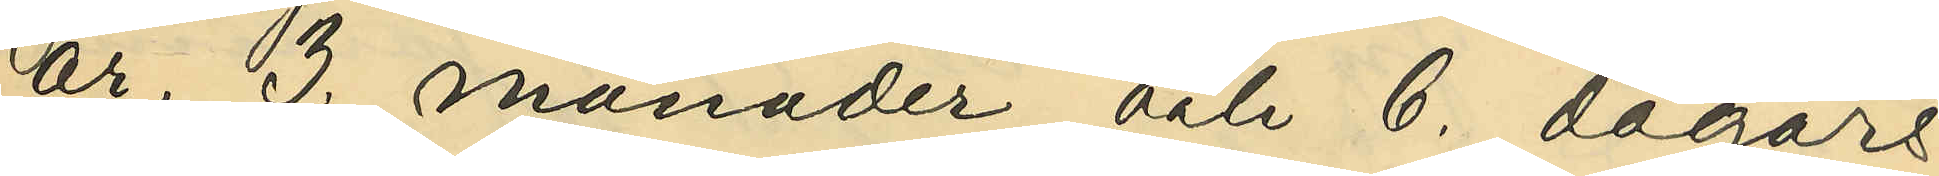år, 3. månader och 6. dagars
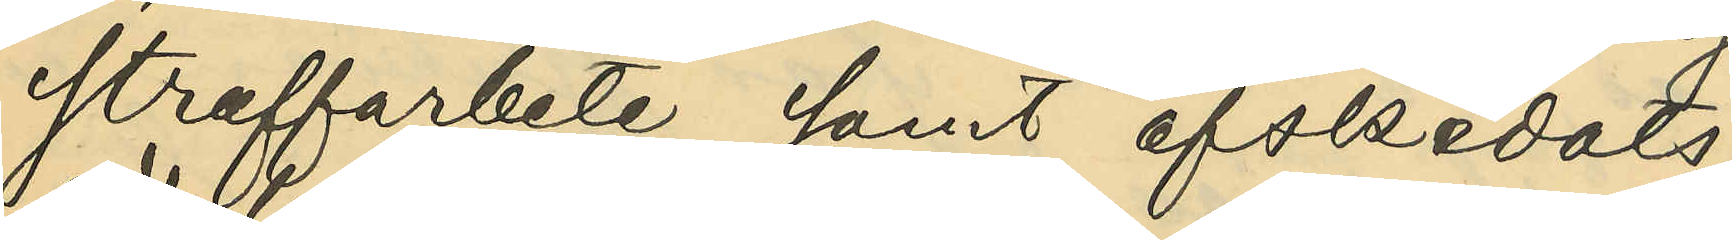straffarbete samt afskedats;
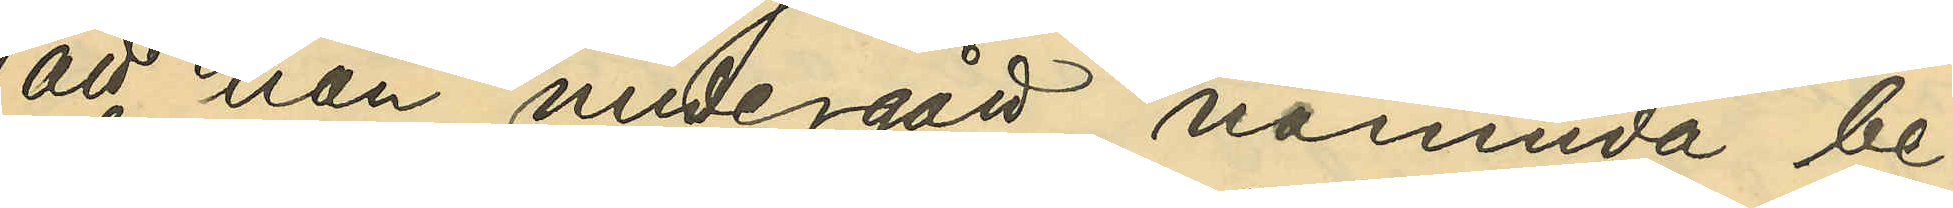att han undergått nämnda be¬
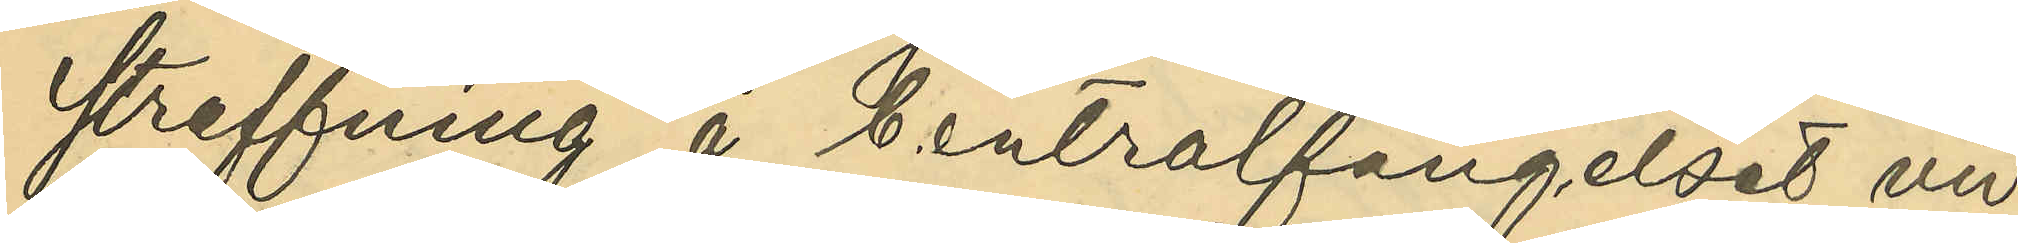straffning å Centralfängelset vid
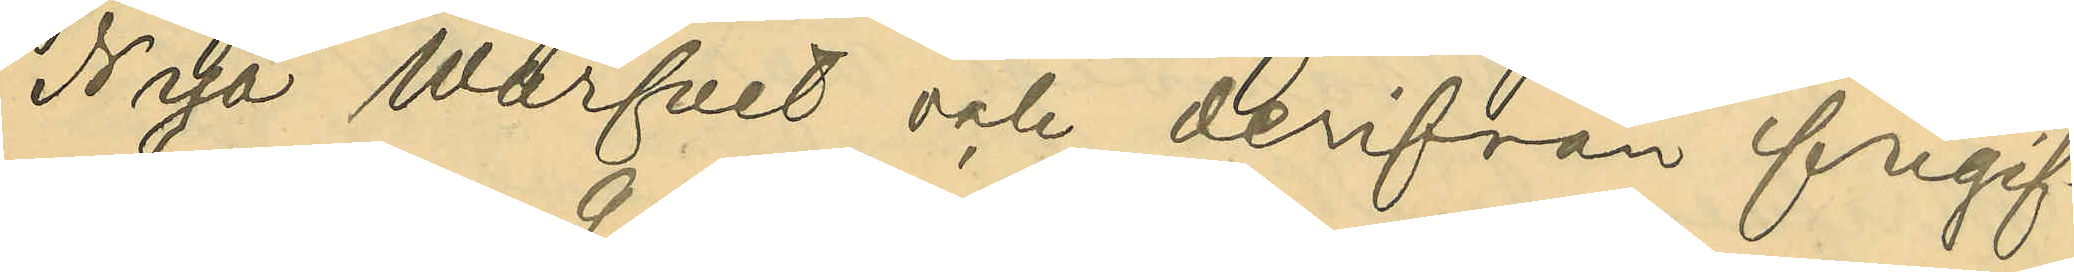Nya Warfvet och derifrån frigif¬
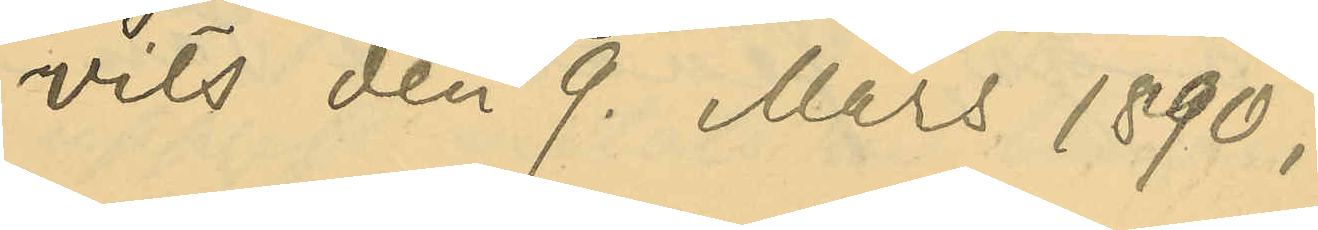vits den 9 Mars 1890;
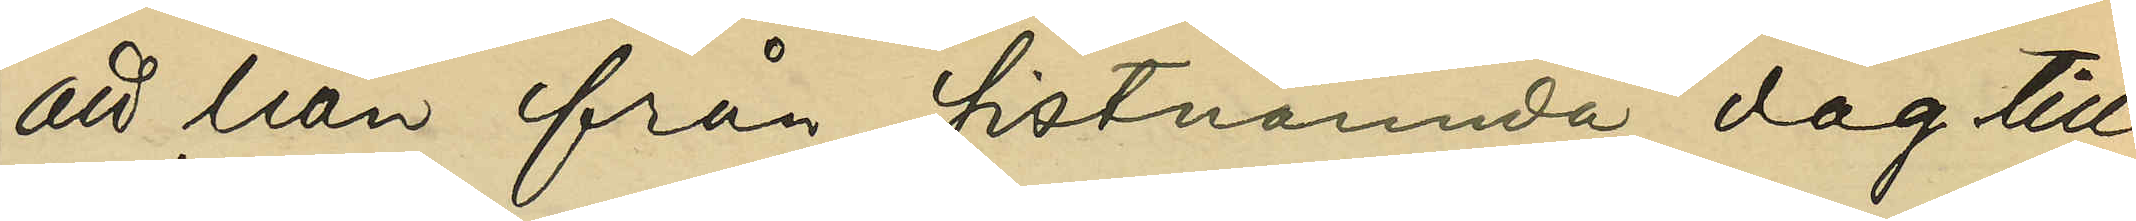att han från sistnämnda dag till
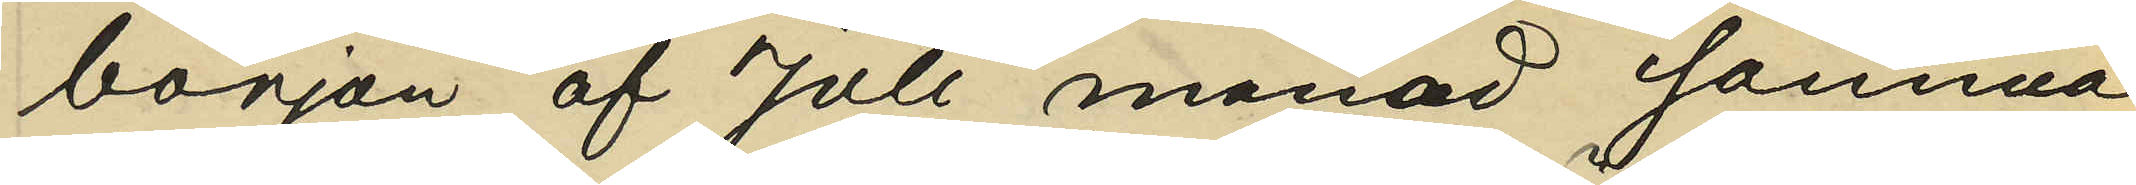början af Juli månad samma
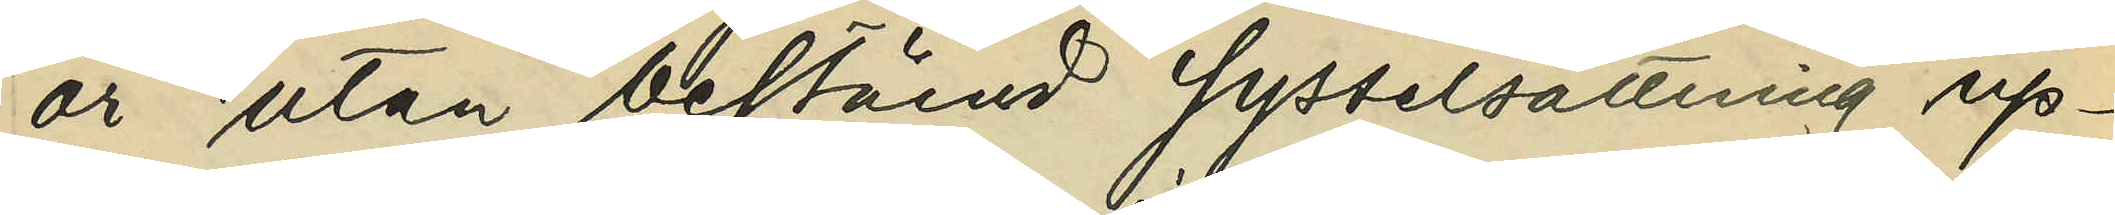år utan bestämd sysselsättning up¬
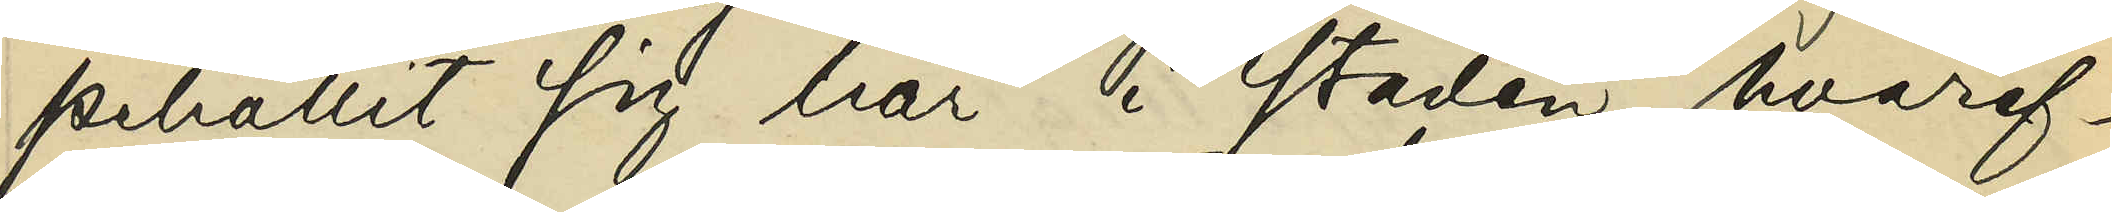pehållit sig här i staden, hvaref¬
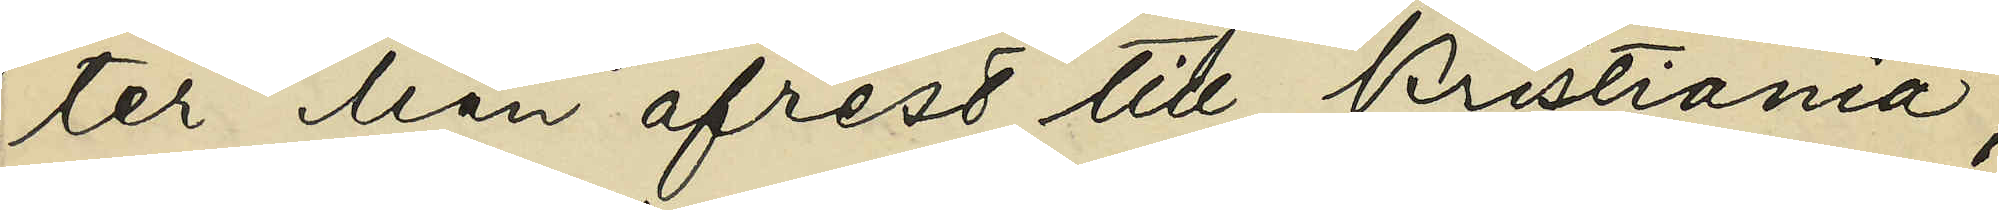ter han afrest till Kristiania;
